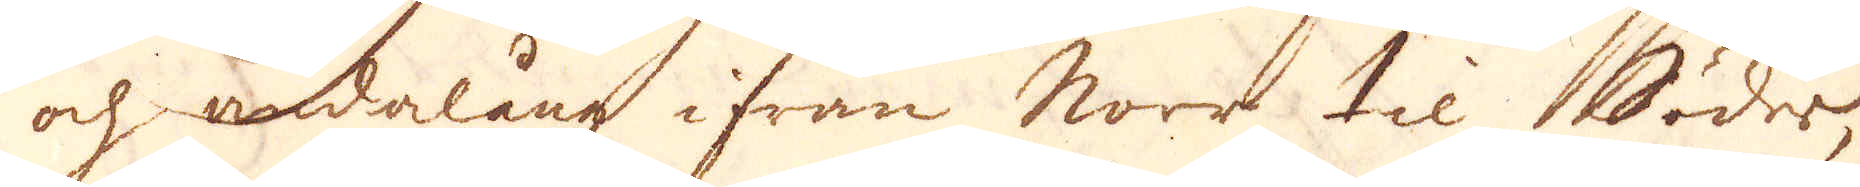och ändalång ifrån Norr til Söder,
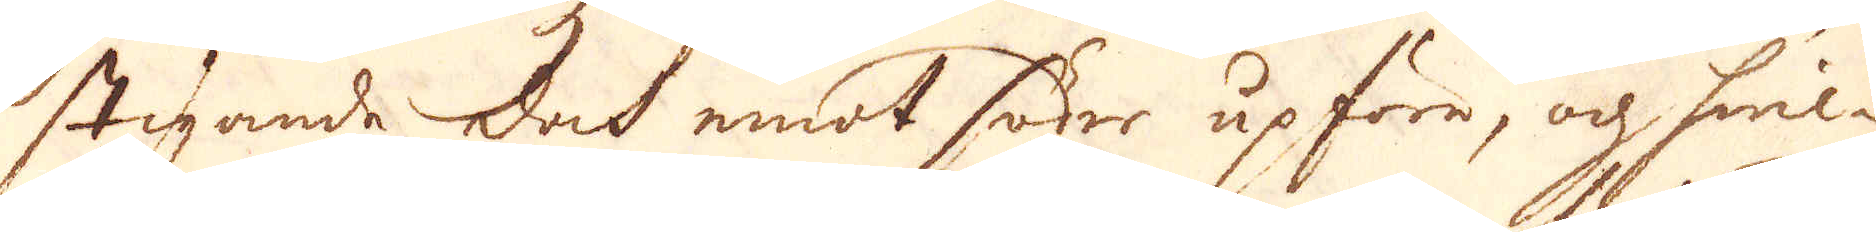stigande doch emot söder upföre, och hwil-
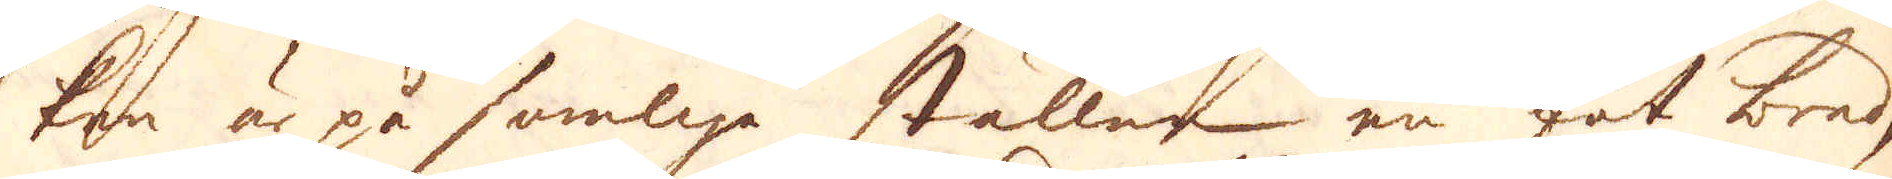ken är på somlige ställen en fot bred,
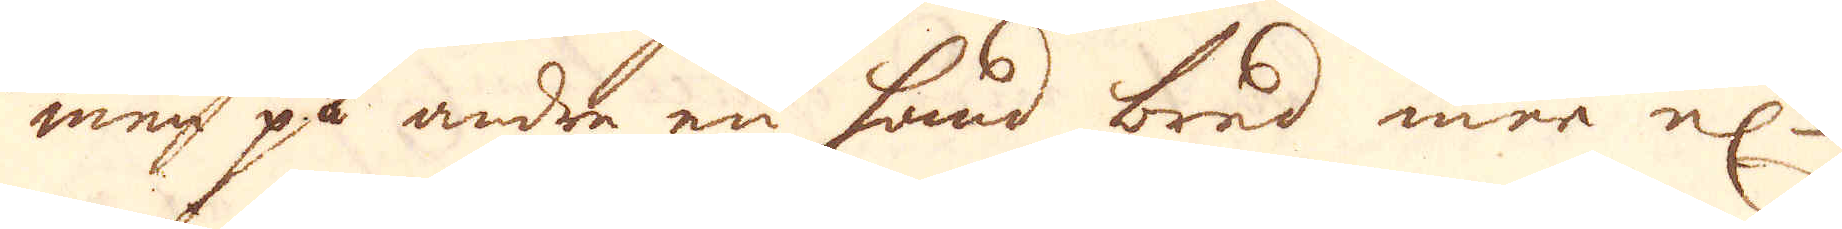men på andra en hand bred mer el:r
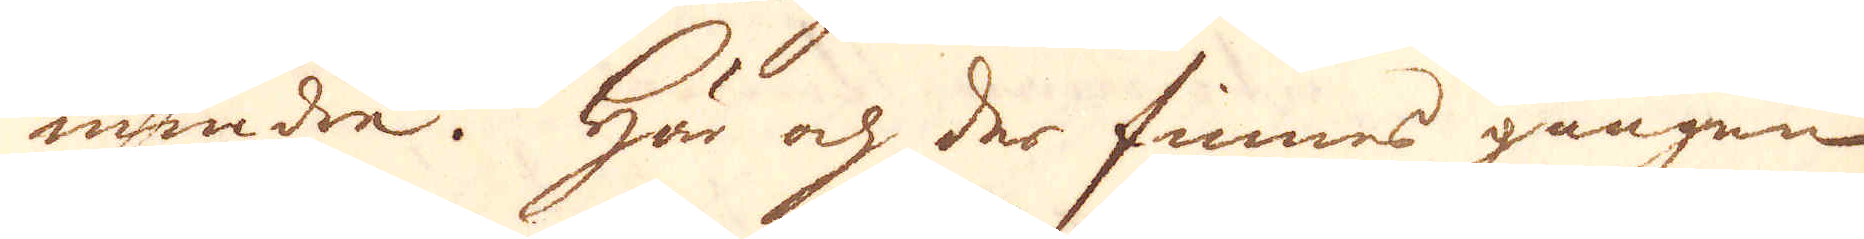mindre. Här och der finnes gången
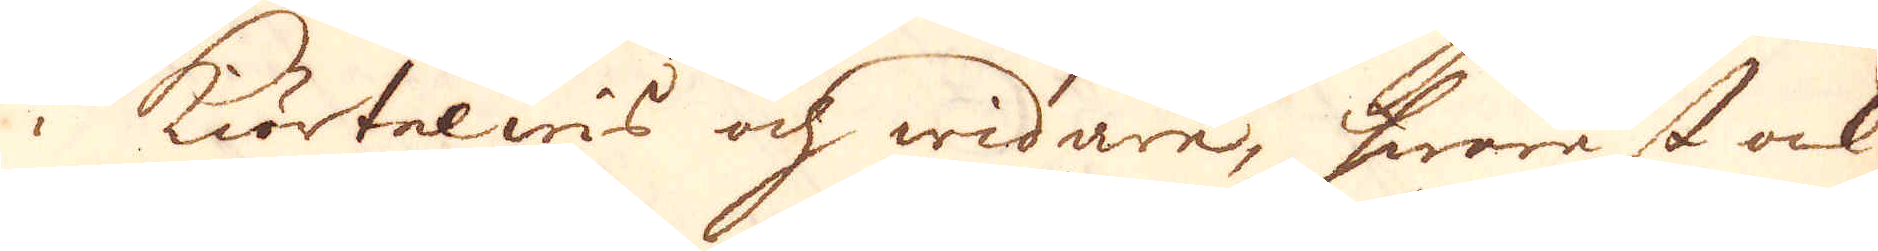i Kiörtelwis och widare, hwarest ock
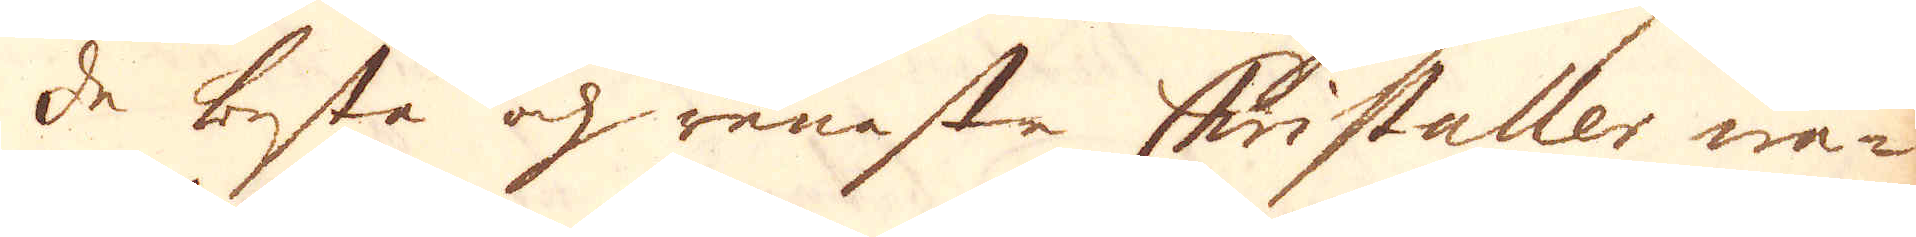de besta och renaste Christaller wa-
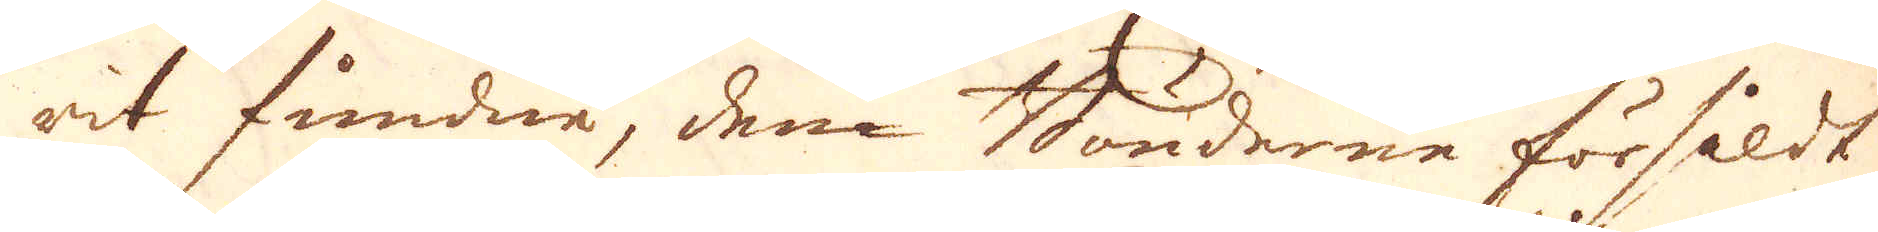rit fundne, dem Bönderne försåldt
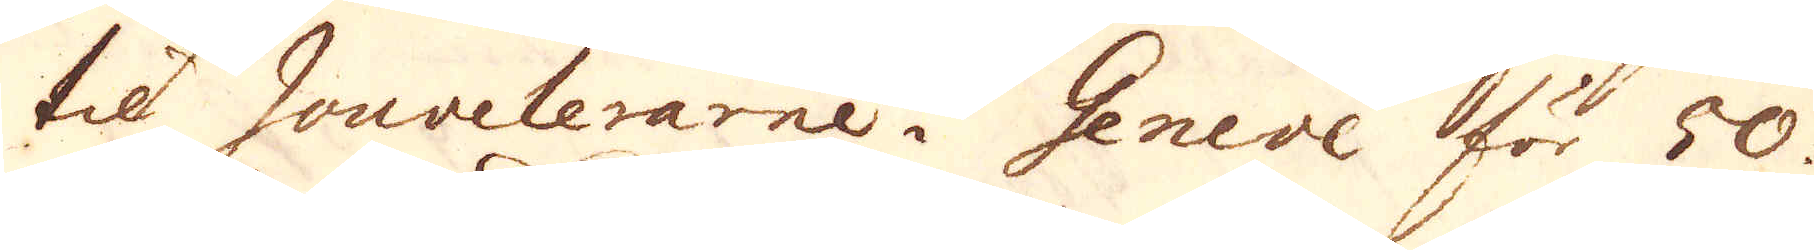til Jouvelerarne i Geneve för 50.
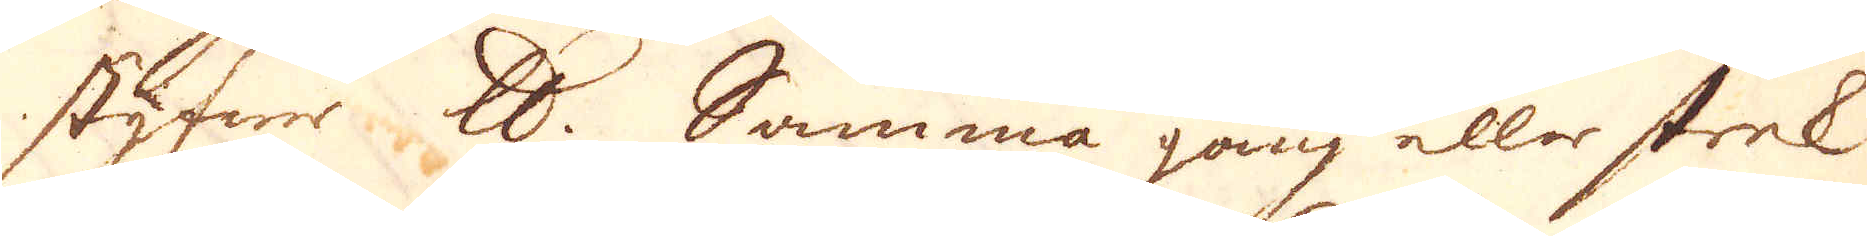styfwer skålpund. Samma gång eller strek
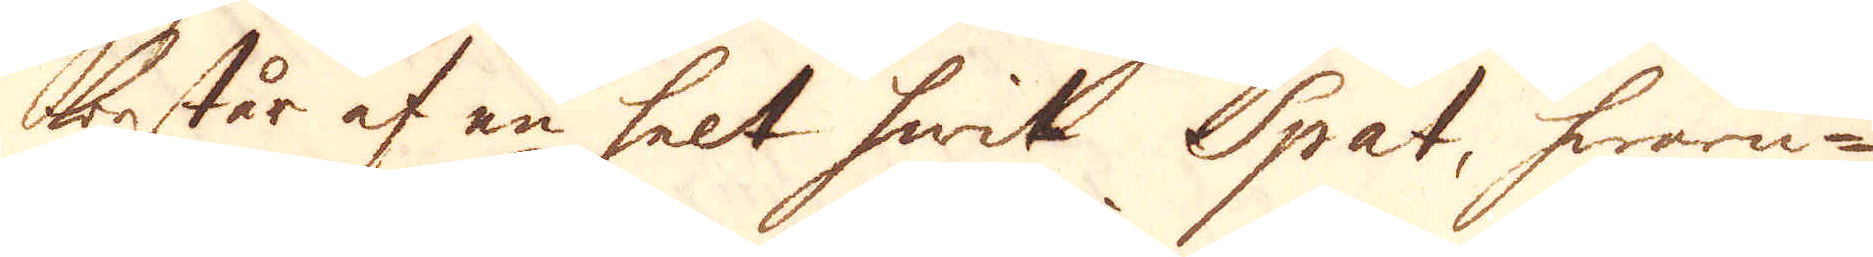består af en helt hwit Spat, hwaru-
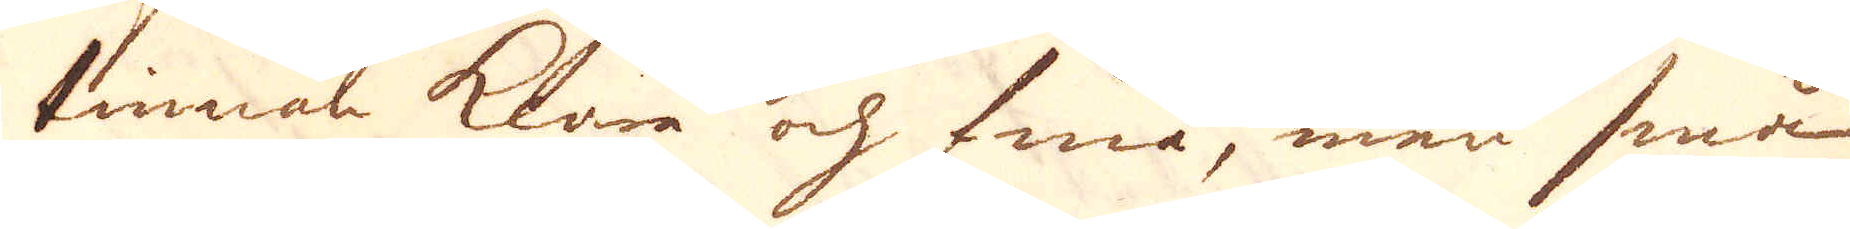tinnan klara och fina, men små
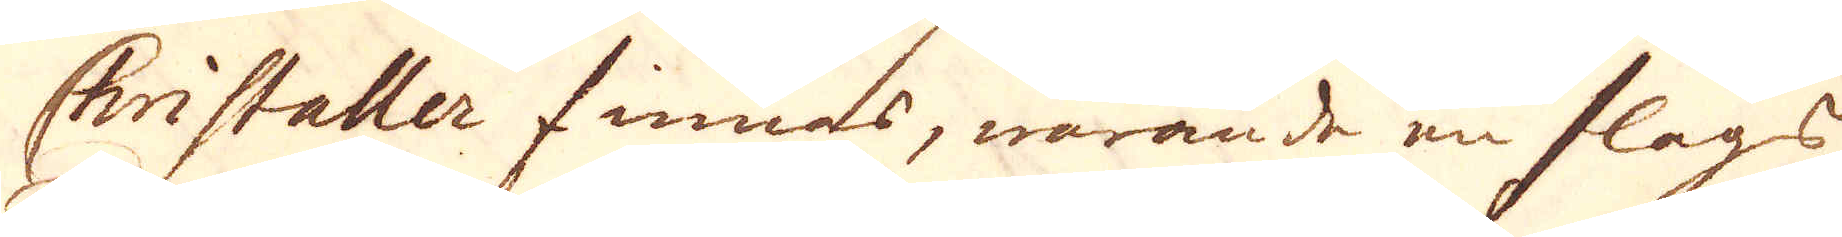Christaller finnas, warande en slags
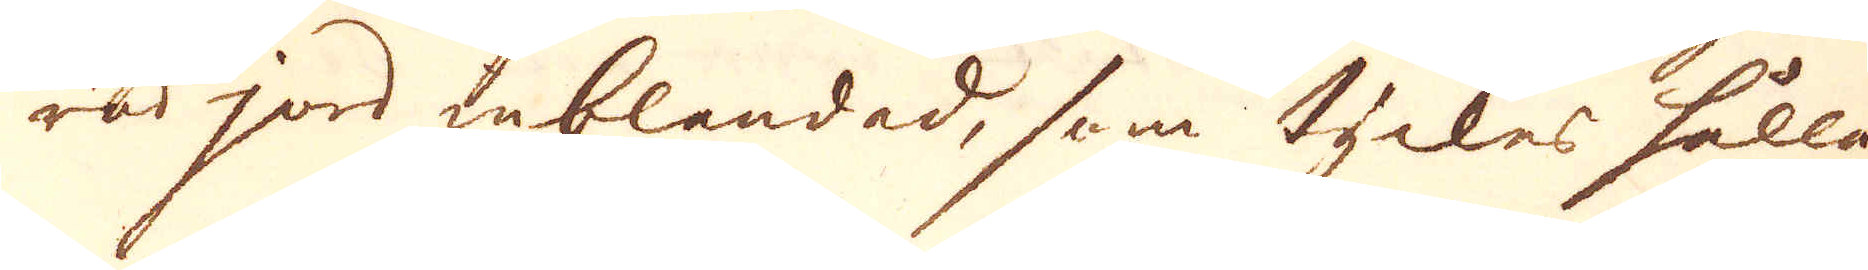röd jord inblandad, som tyckes hålla
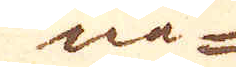nå-
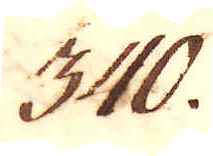340.
